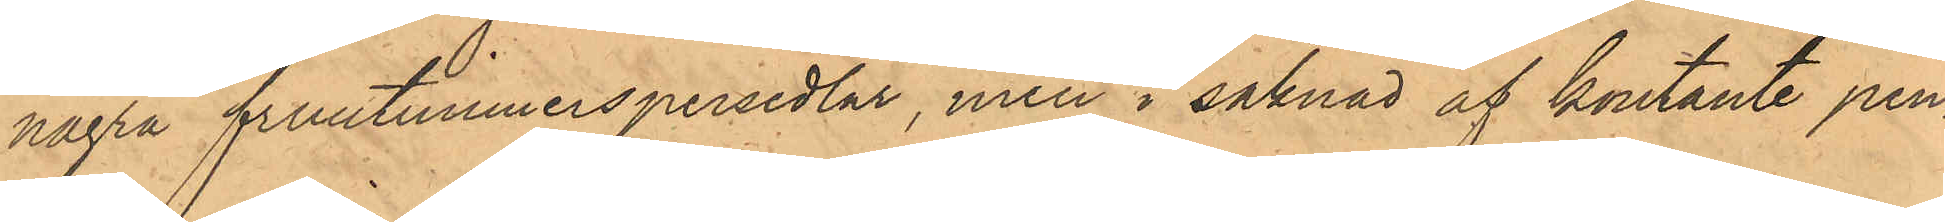några fruntimmerspersedlar, men i saknad af kontante pen¬
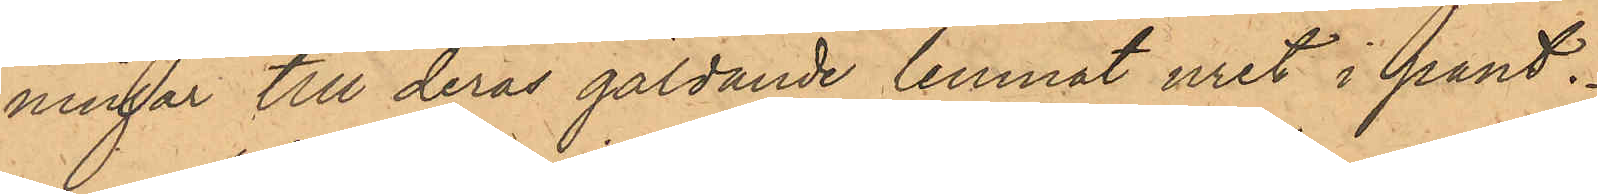ningar till deras gäldande lemnat uret i pant.
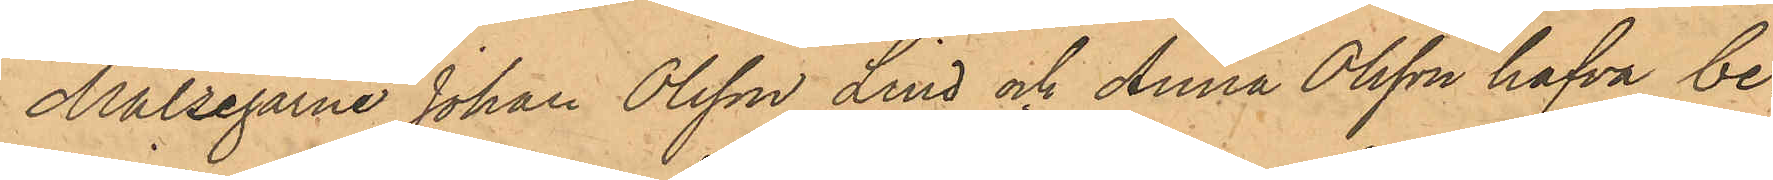Målsegarne Johan Olsson Lind och Anna Olsson hafva be¬
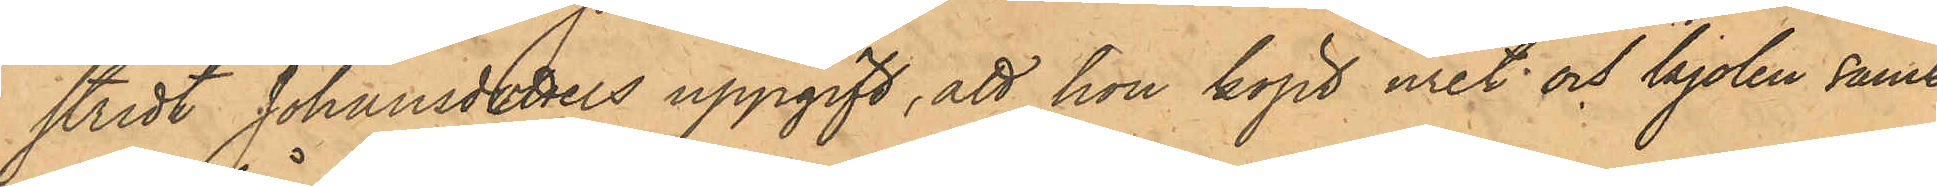stridt Johansdotters uppgift, att hon köpt uret och kjolen samt
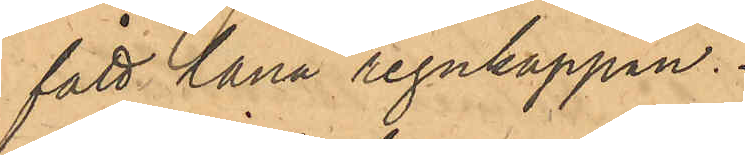fått låna regnkappan.
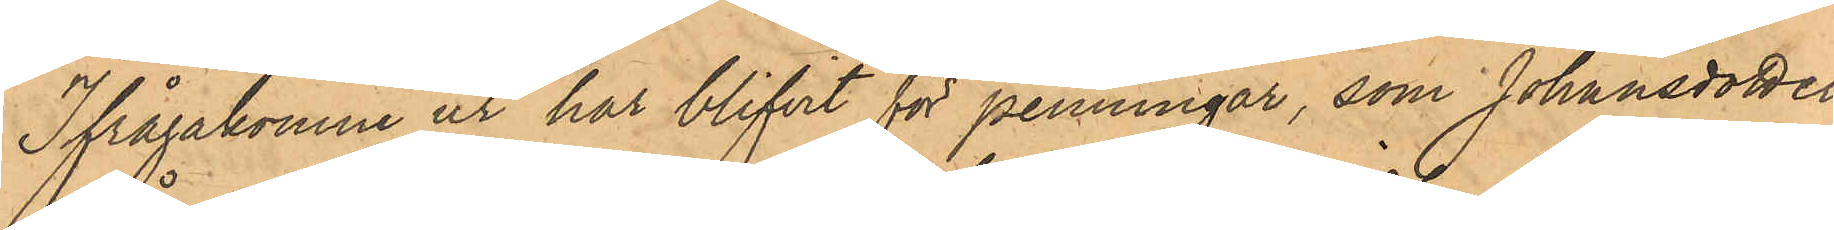Ifrågakomne ur har blifvit för penningar, som Johansdotter
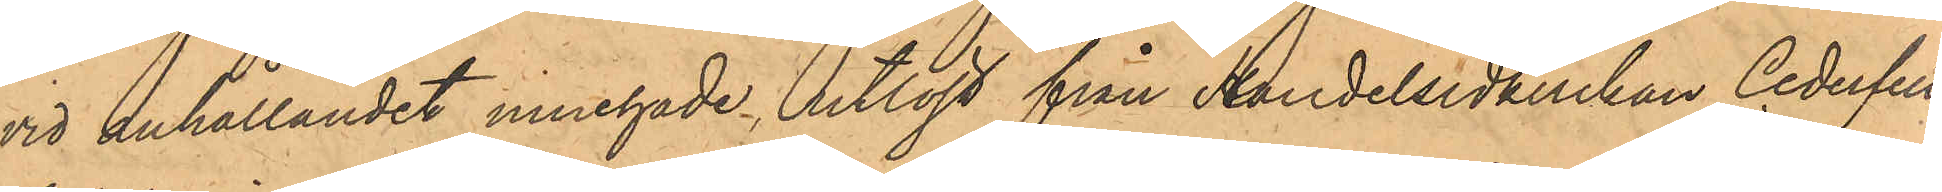vid anhållandet innehade utlösts från Handelsidkerskan Cederfelt
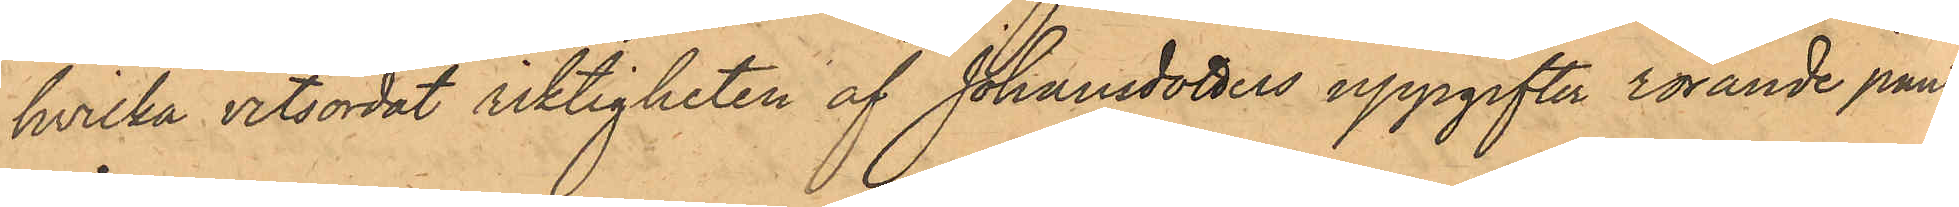hvilka vitsordat riktigheten af Johansdotters uppgifter rörande pant¬
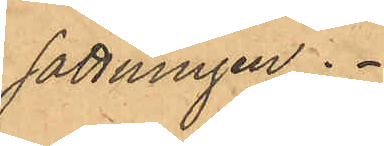sättningen.
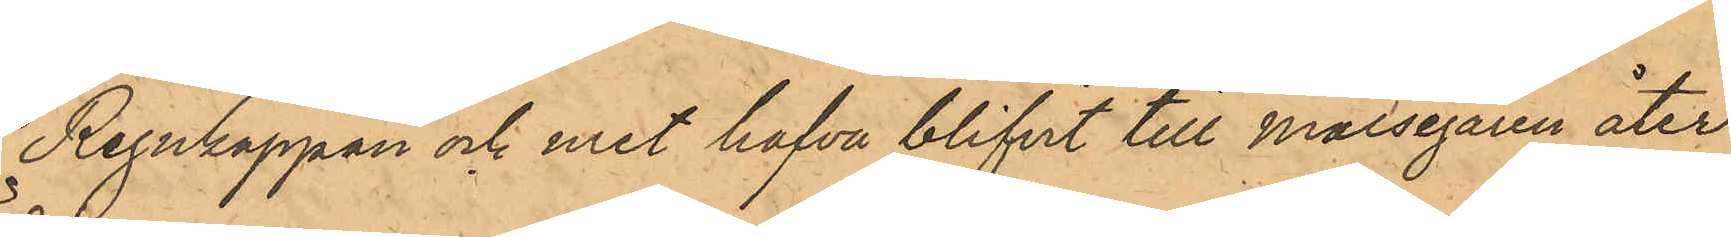Regnkappan och uret hafva blifvit till Målsegaren åter¬
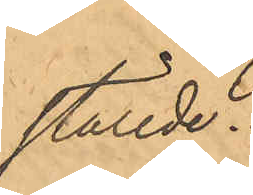ställde.
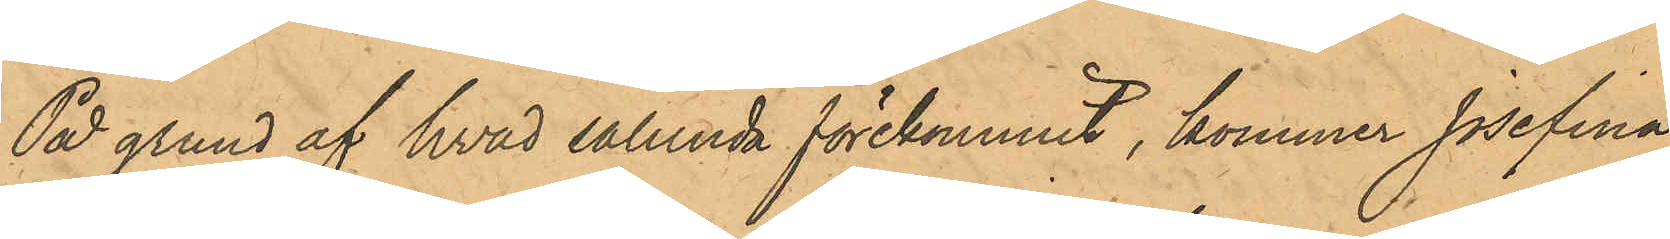På grund af hvad sålunda förekommit, kommer Josefina
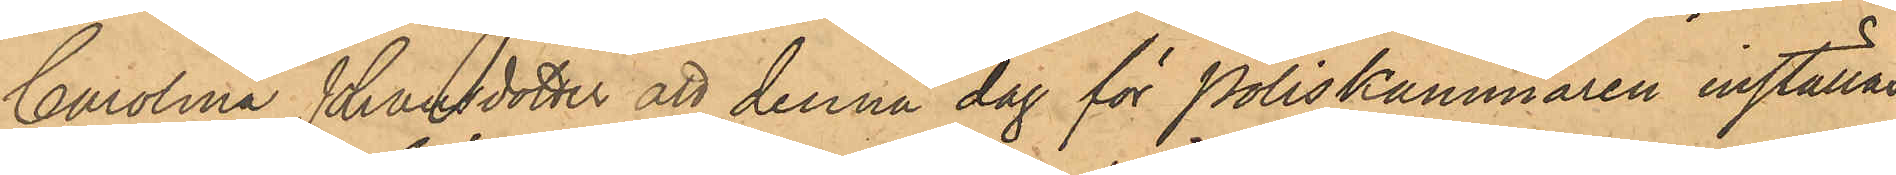Carolina Johansdotter att denna dag för Poliskammaren inställas.
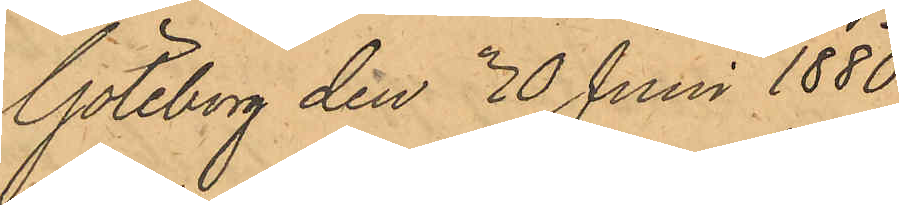Göteborg den 30 Juni 1880.
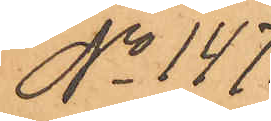No 147.
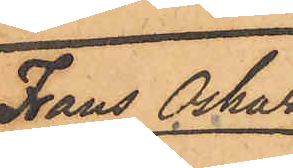Frans Oskar
